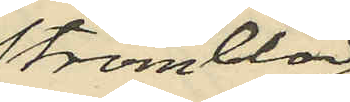Strömblad
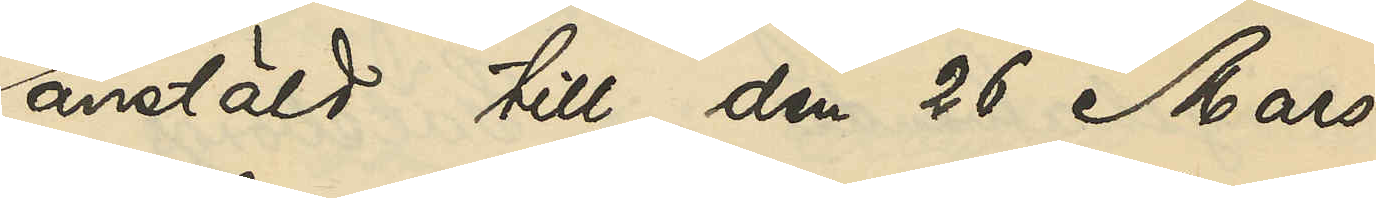anstäld till den 26 Mars
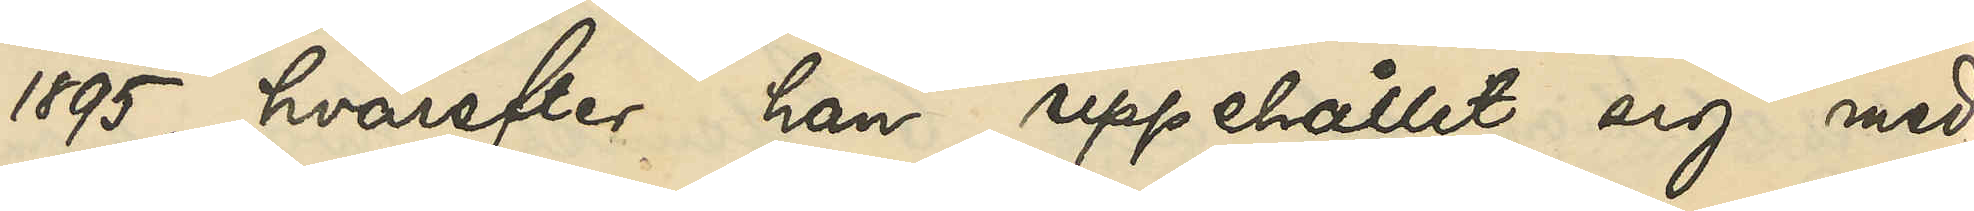1895, hvarefter han uppehållit sig med
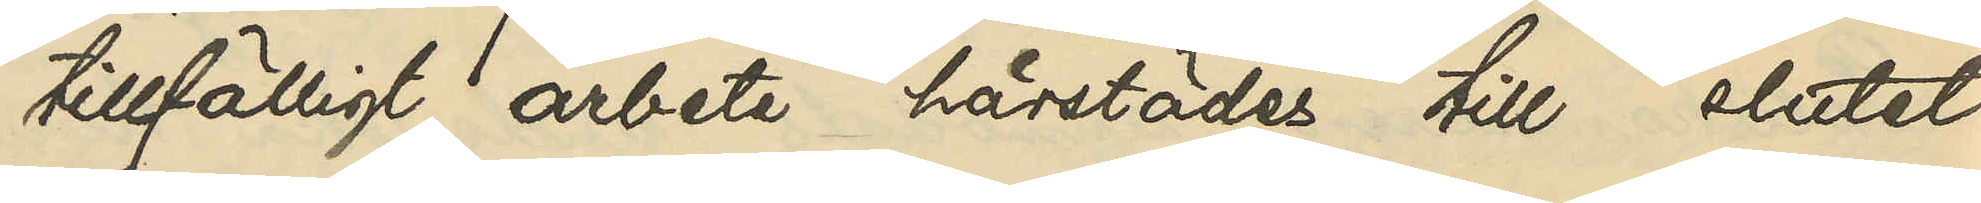tillfälligt arbete härstädes till slutet
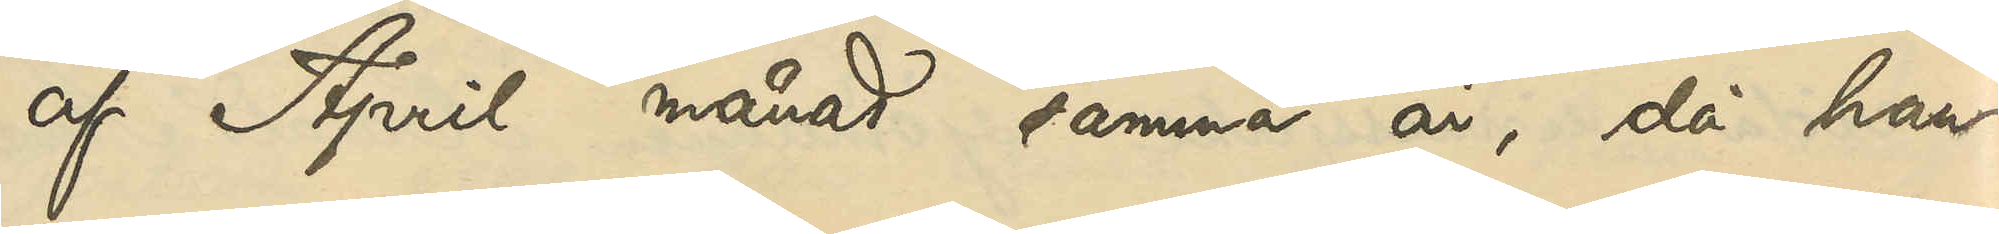af April månad samma år, då han
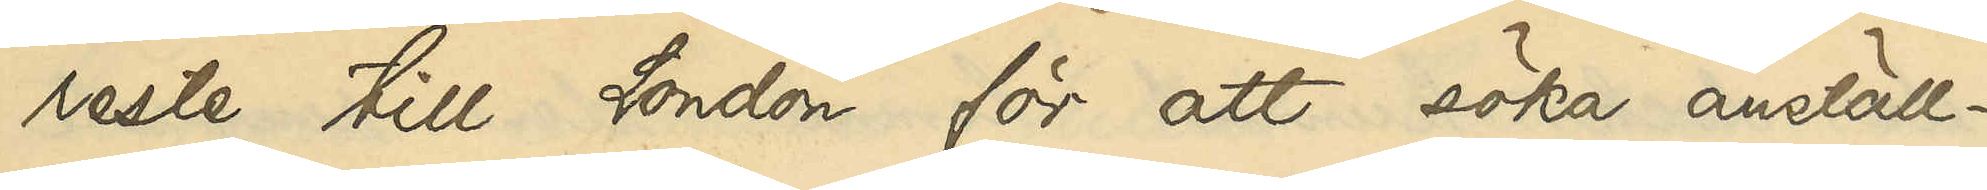reste till London för att söka anställ¬
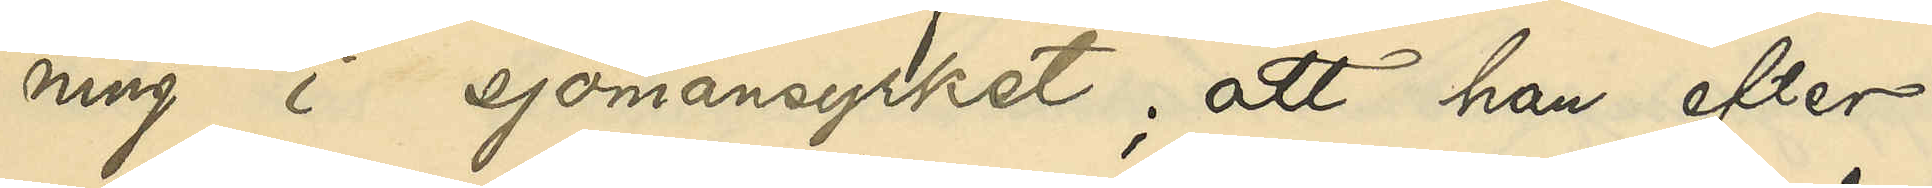ning i sjömansyrket; att han efter
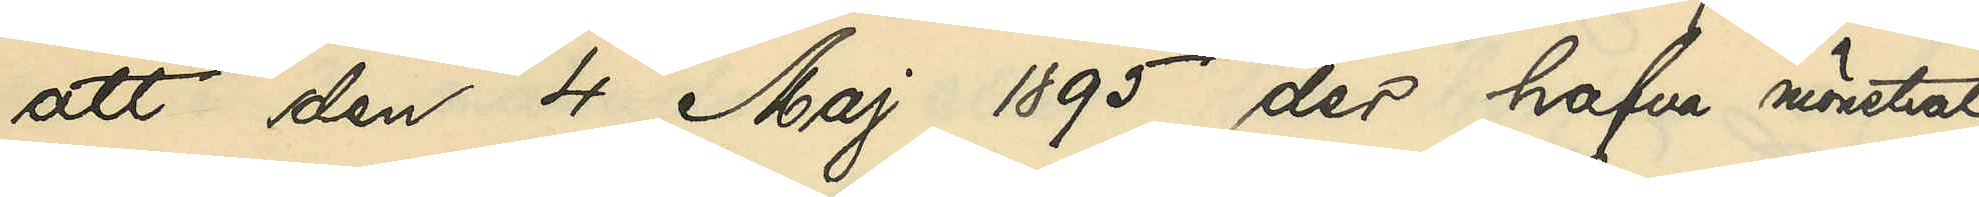att den 4 Maj 1895 der hafva mönstrat
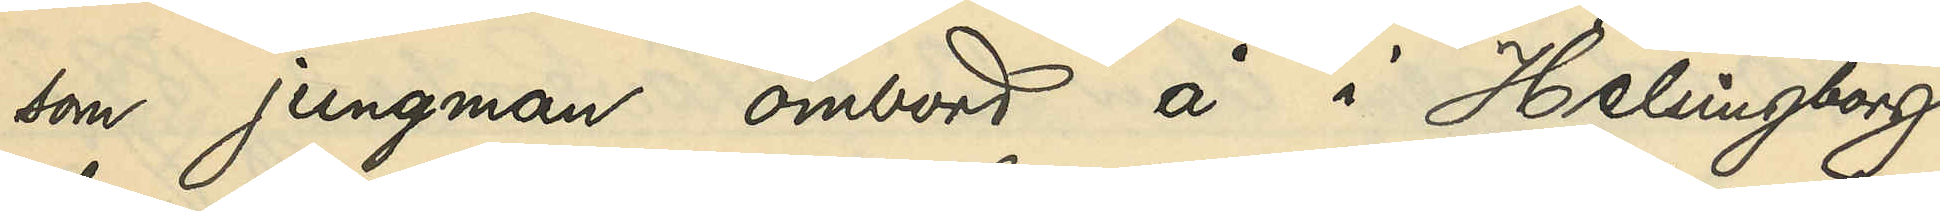som jungman ombord å i Helsingborg
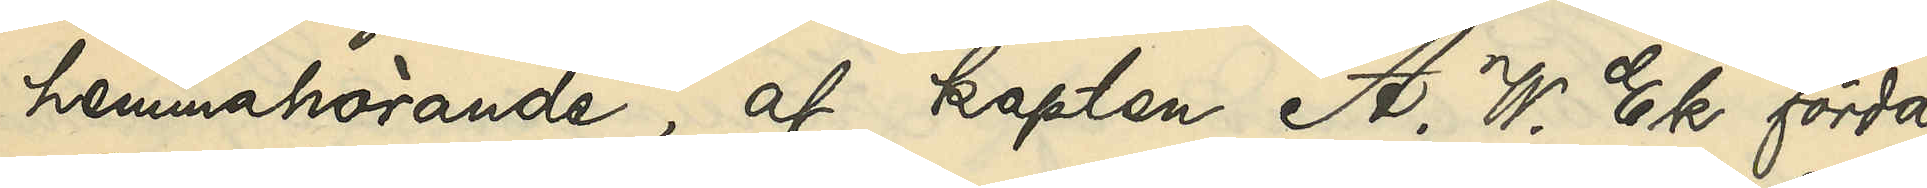hemmahörande, af kapten A. W. Ek förda
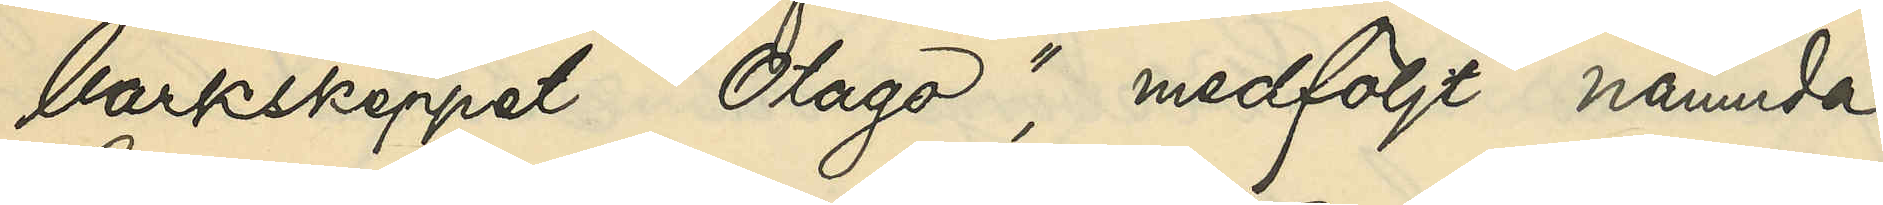barkskeppet "Olago", medföljt nämnde
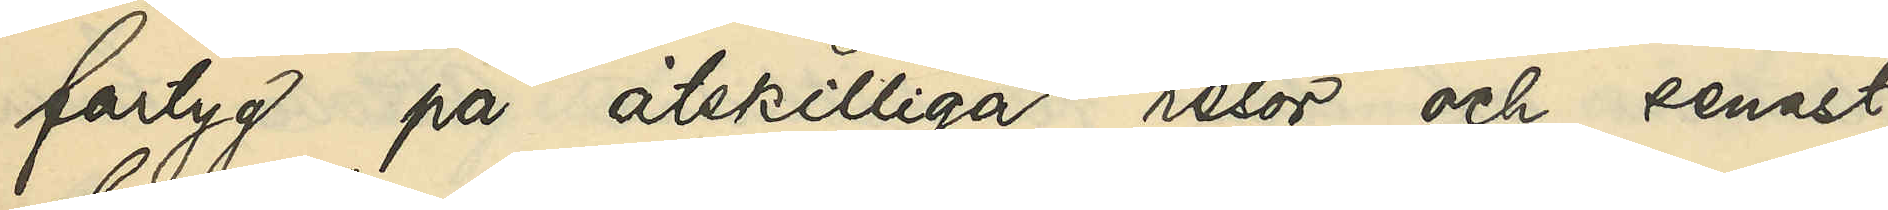fartyg på åtskilliga resor och senast
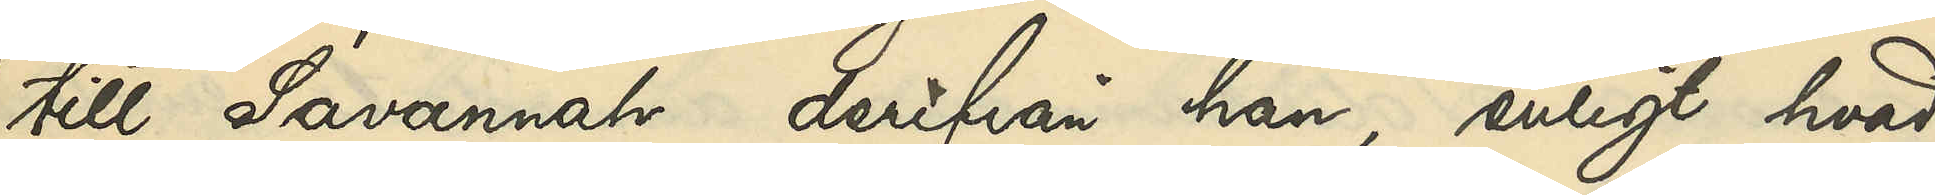till Savannah, derifrån han, enligt hvad
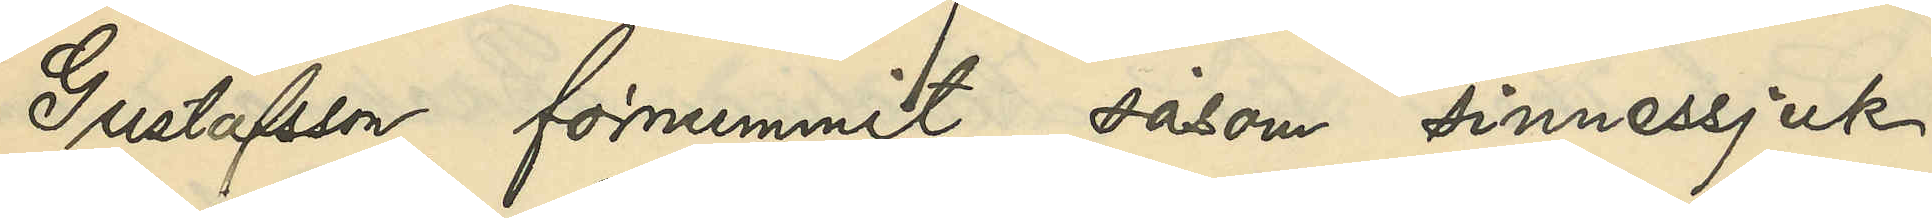Gustafsson förnummit, såsom sinnessjuk
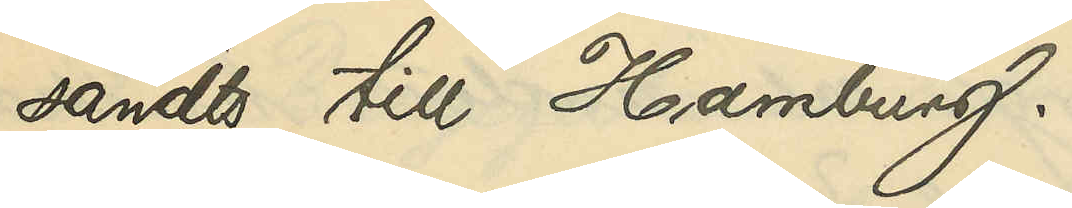sändts till Hamburg.
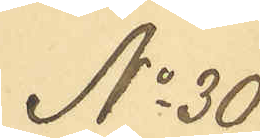No 30
